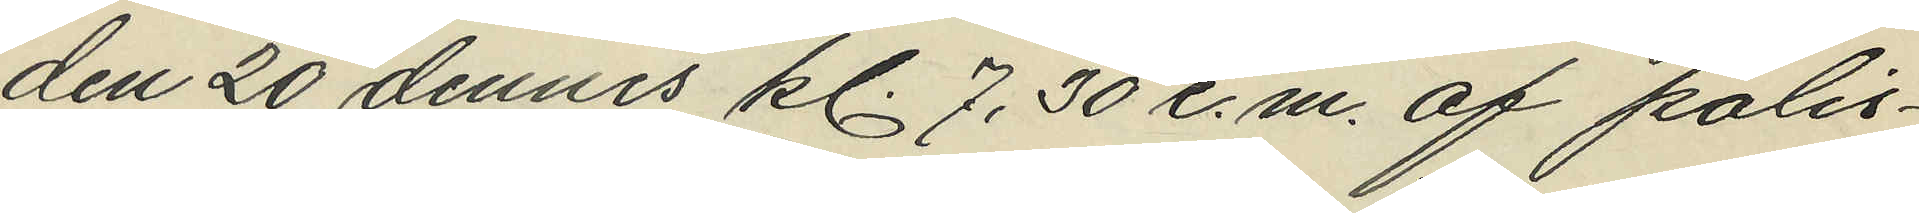den 20 dennes kl. 7,30 e.m. af polis¬
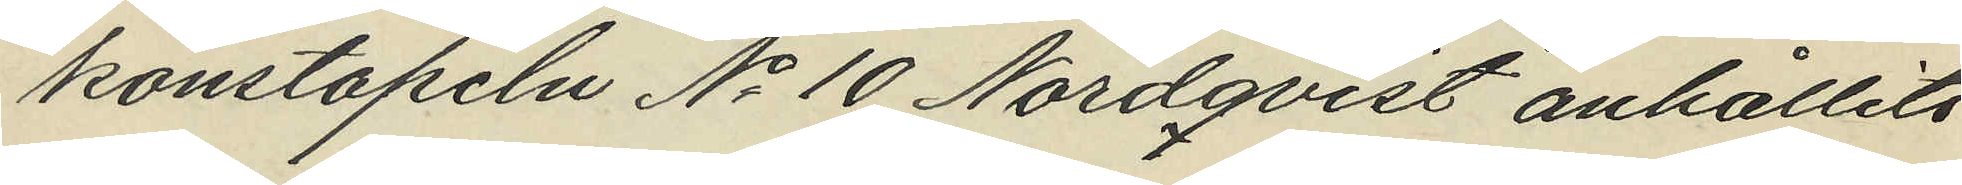konstapeln No 10 Nordqvist anhållits
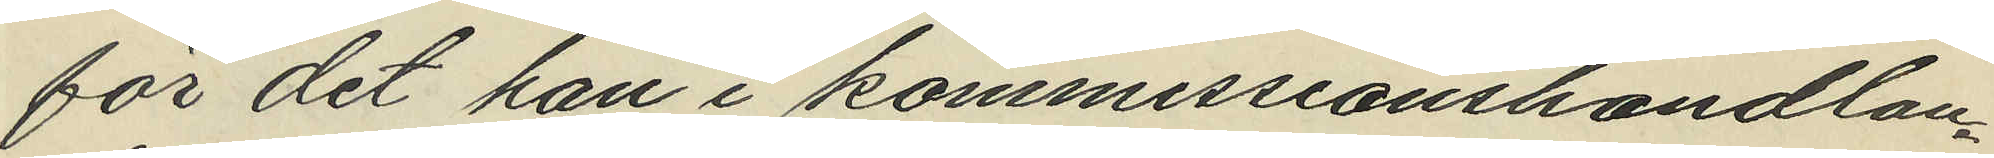för det han i kommissionshandlan¬
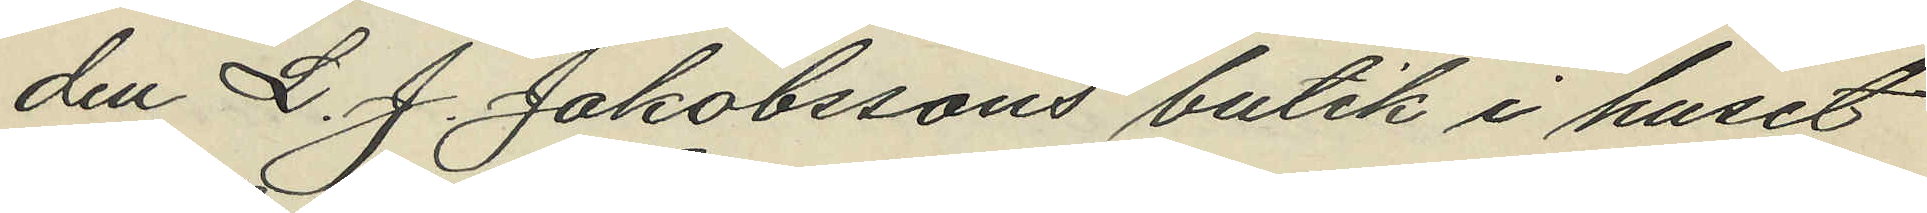den L. J. Jakobssons butik i huset
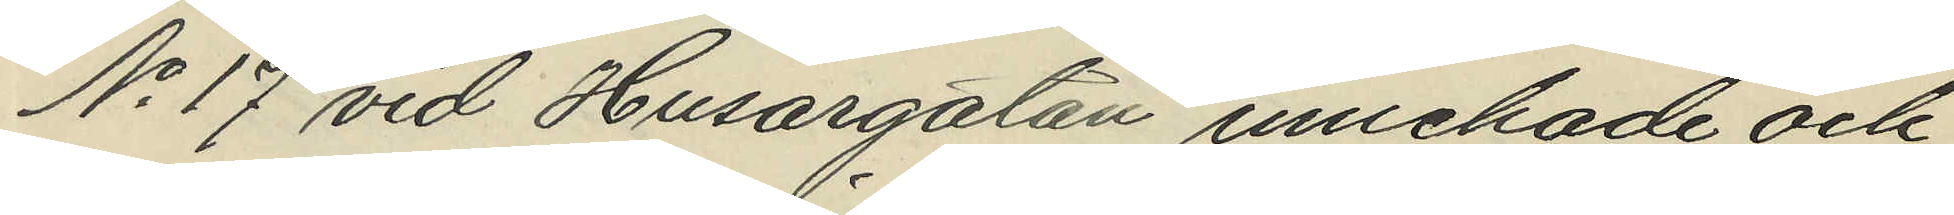No 17 vid Husargatan innehade ock
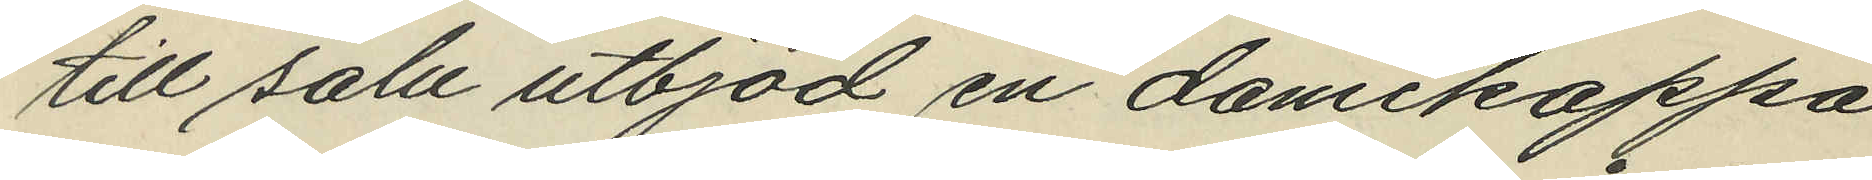till salu utbjöd en damekappa
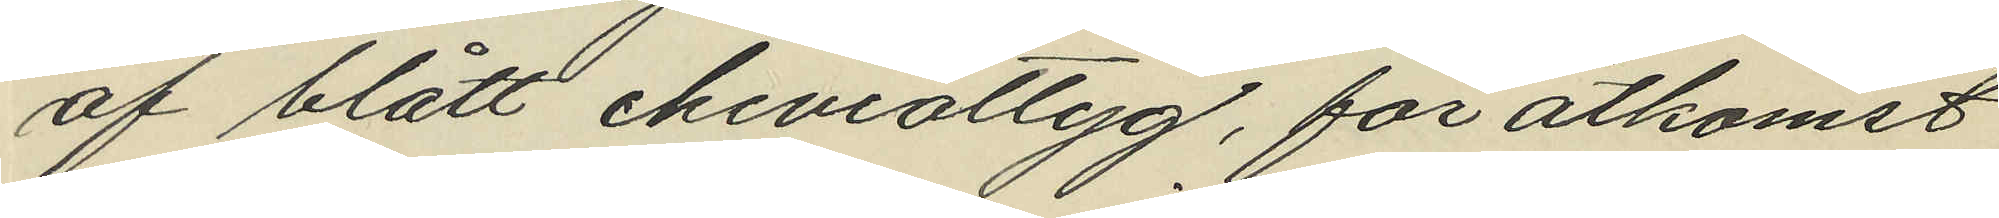af blått cheviottyg, för åtkomst
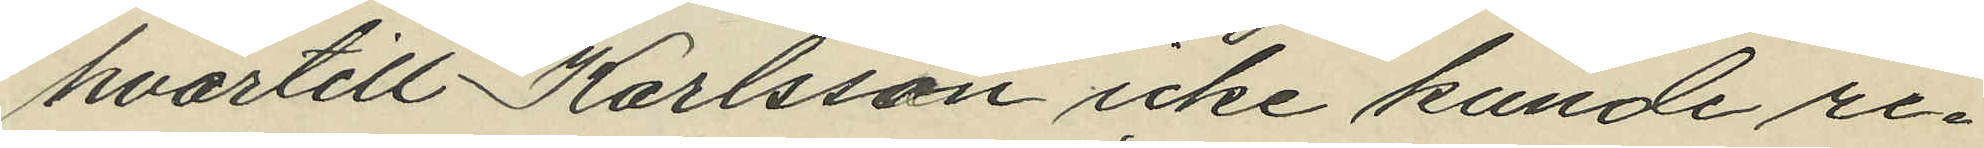hvartill Karlsson icke kunde re¬
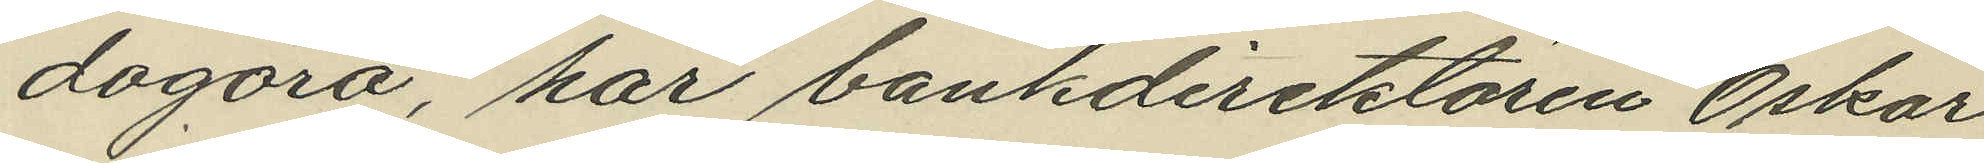dogöra, har bankdirektören Oskar
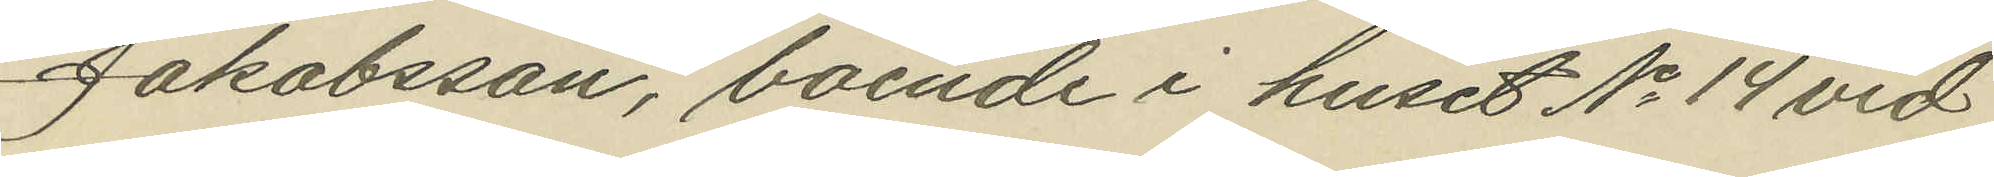Jakobsson, boende i huset No 14 vid
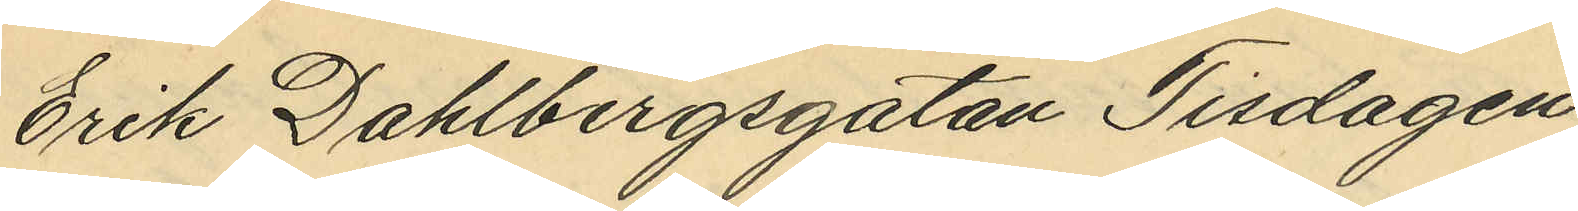Erik Dahlbergsgatan Tisdagen
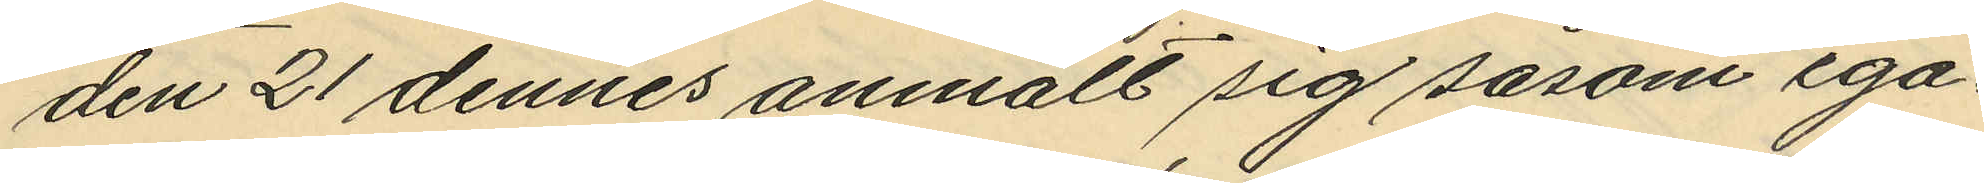den 21 dennes anmält sig såsom ega¬
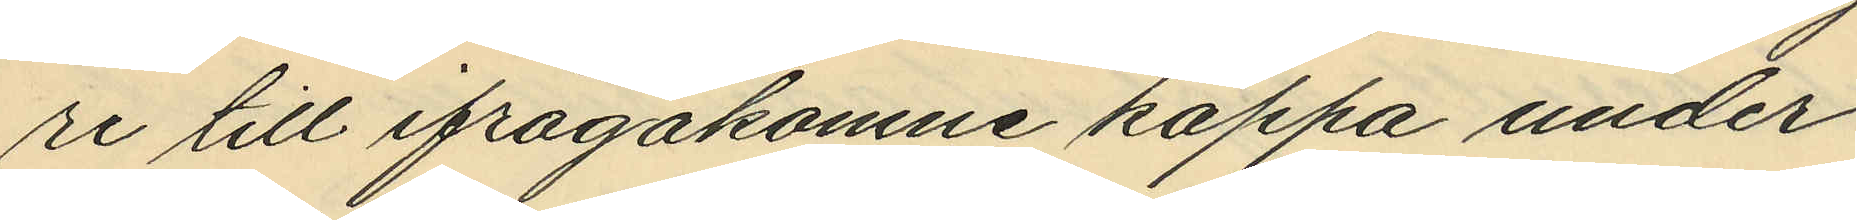re till ifrågakomne kappa under
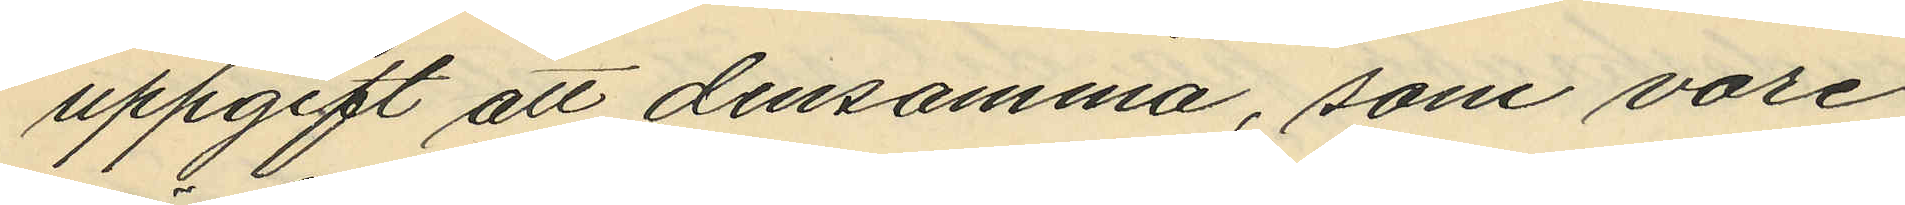uppgift att densamma, som vore
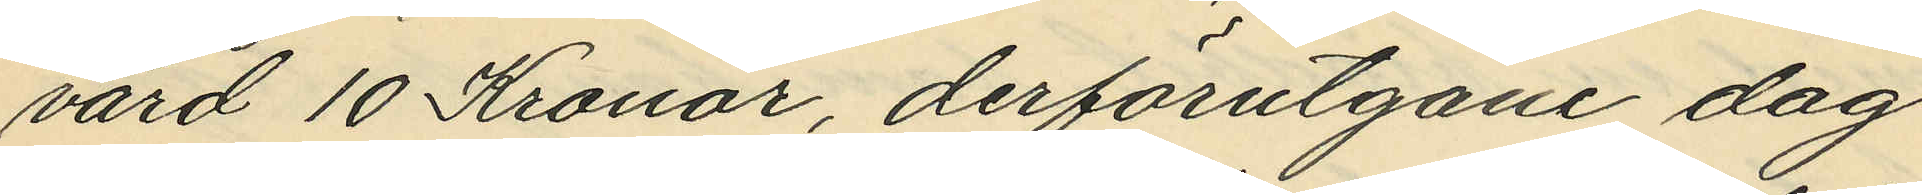värd 10 Kronor, derförutgåne dag
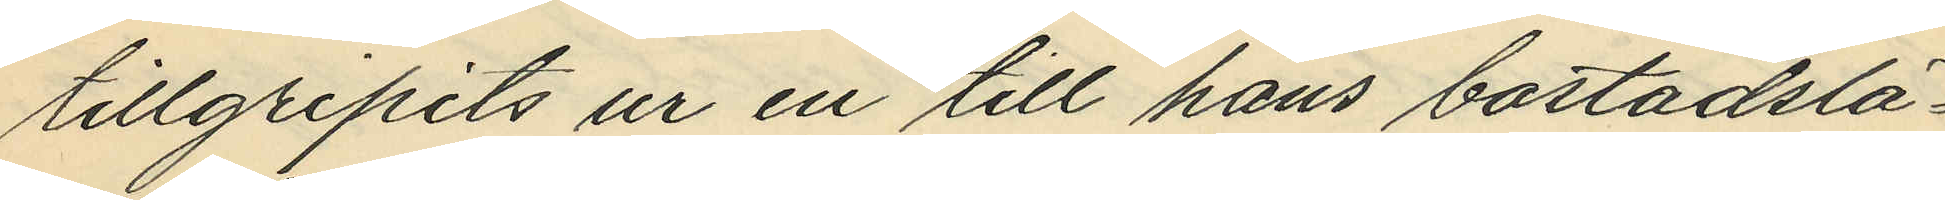tillgripits ur en till hans bostadslä¬
